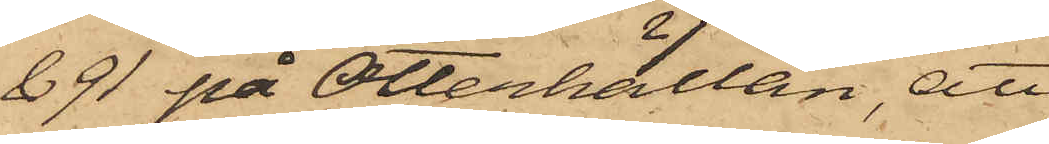& 91 på Otterhällan, att
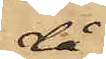då
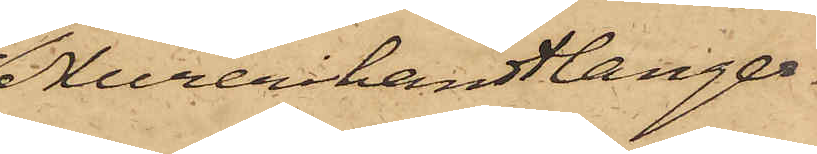Murerihandtlanger¬
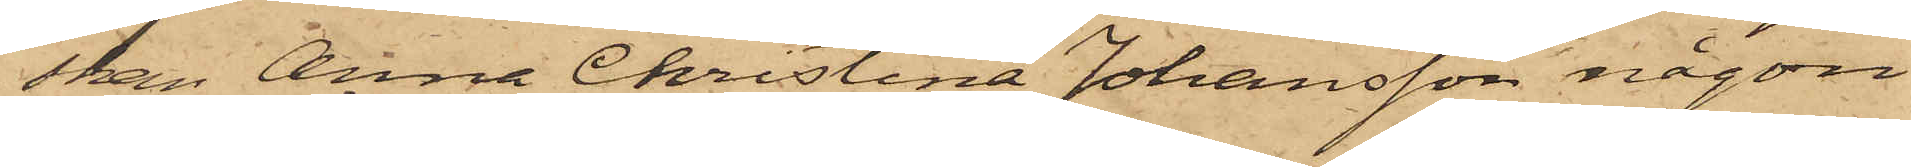skan Anna Christina Johansson någon
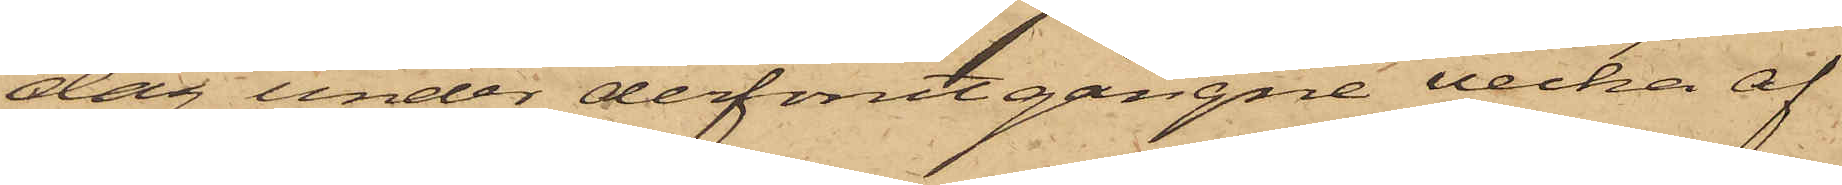dag under derförutgångne vecka af
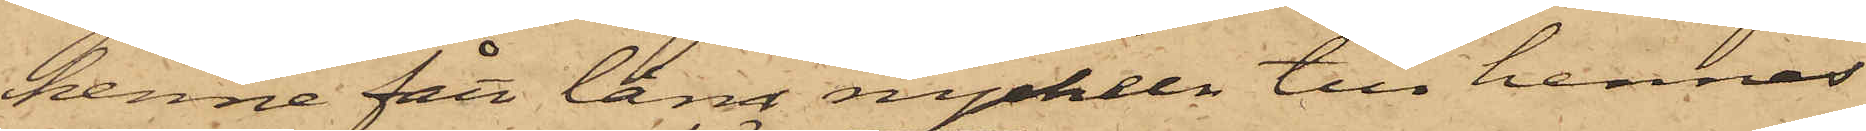henne fått låna nyckeln till hennes
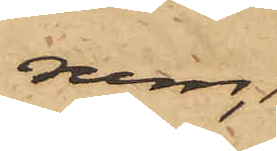rum,
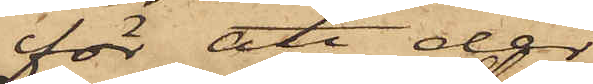för att der
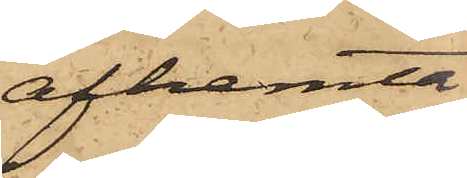afhemta
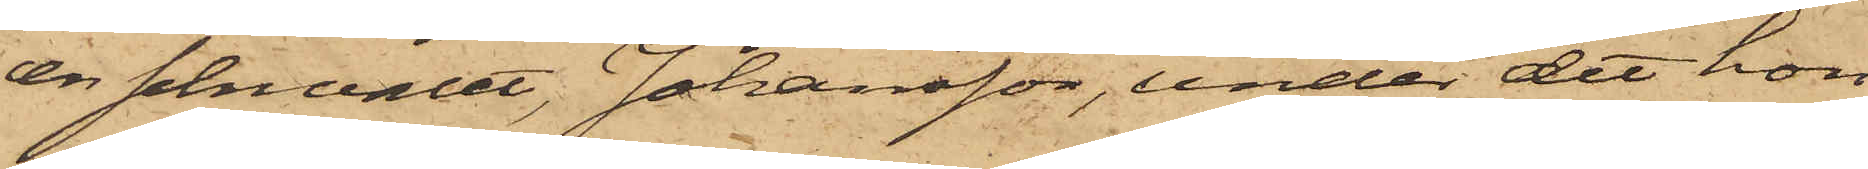en schwalet, Johansson, under det hon
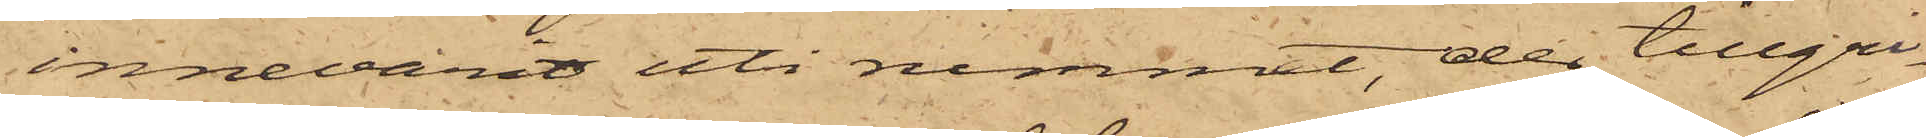innevarit uti rummet, der tillgri¬
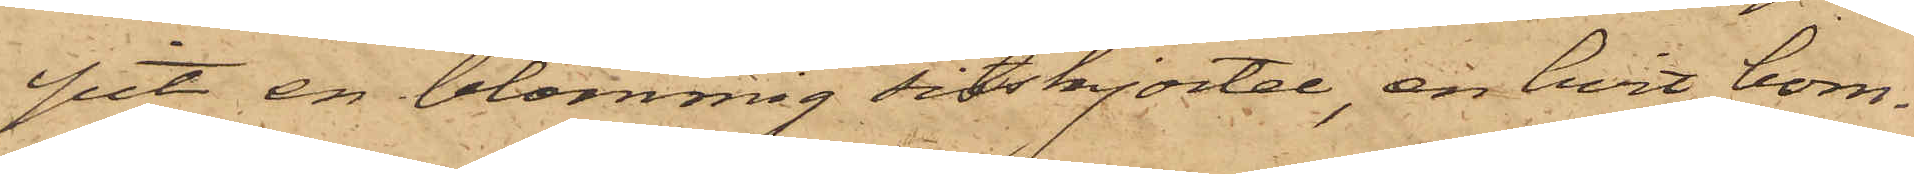pit en blommig sitskjortel, en hvit bom¬
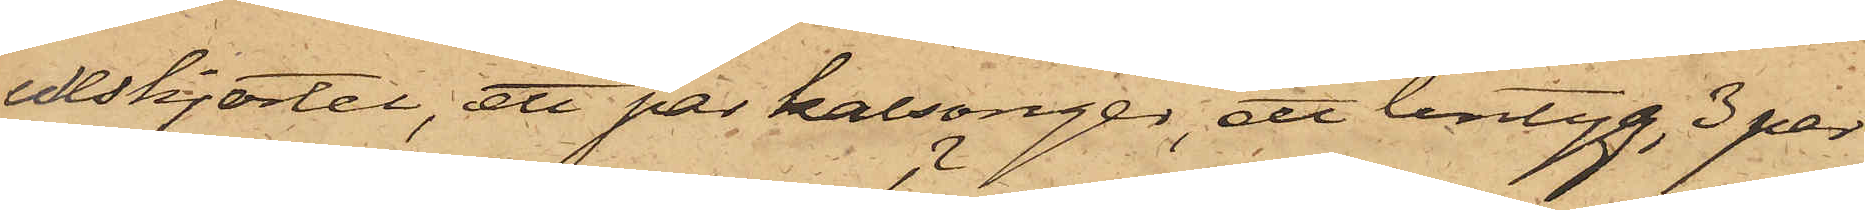ullskjortel, ett par kalsonger, ett lintyg, 3 par
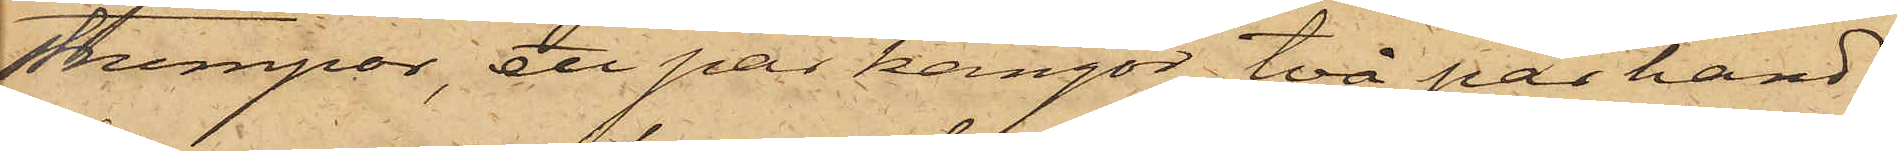strumpor, ett par kängor, två par hand¬
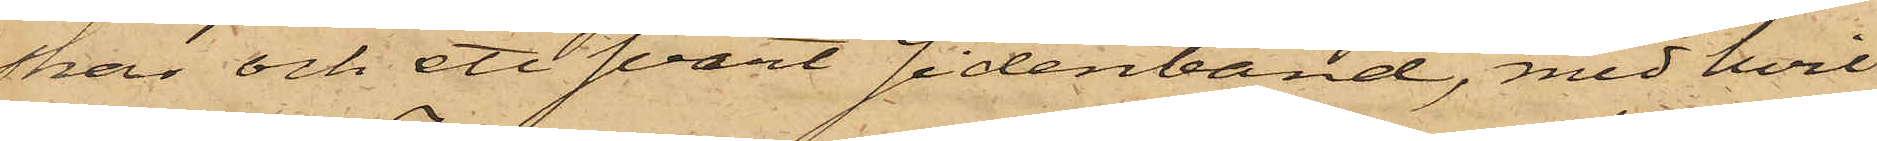skar och ett svart sidenband, med hvil¬
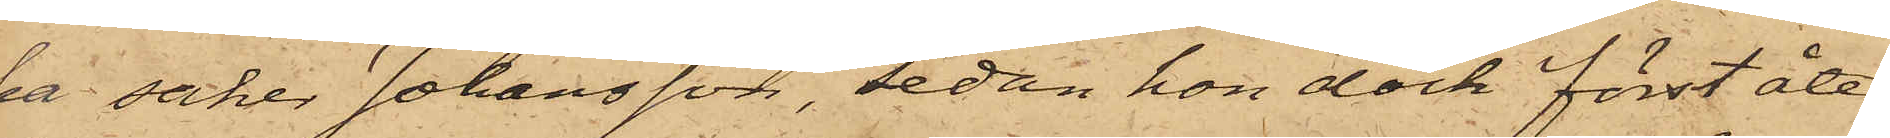ka saker Johansson, sedan hon dock först åter¬
